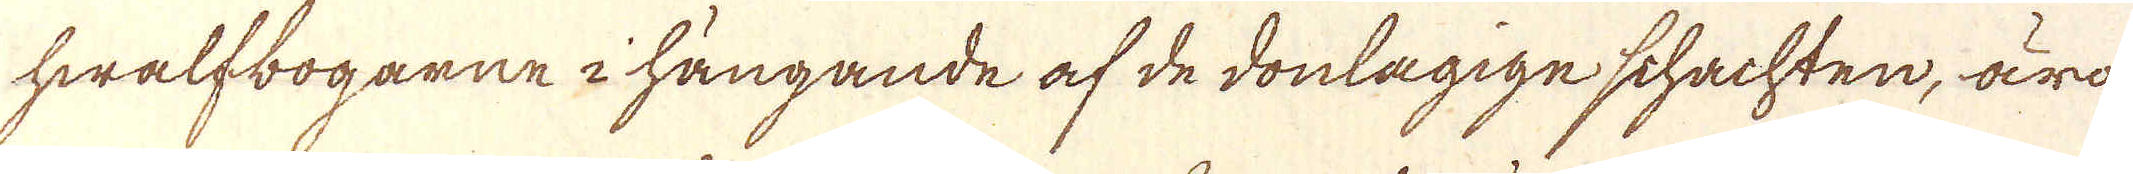hwalfbogarne i hängande af de donlagige schachten, äro
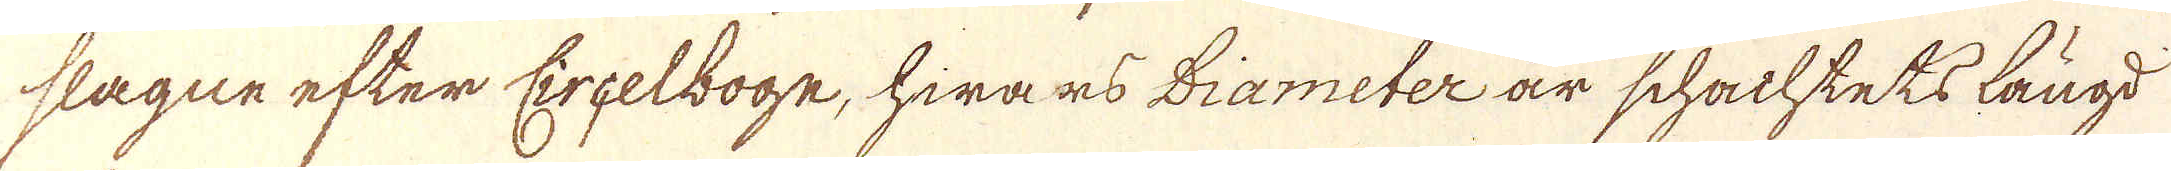slagne efter Ereelboge, hwars diameter är schachtets längd
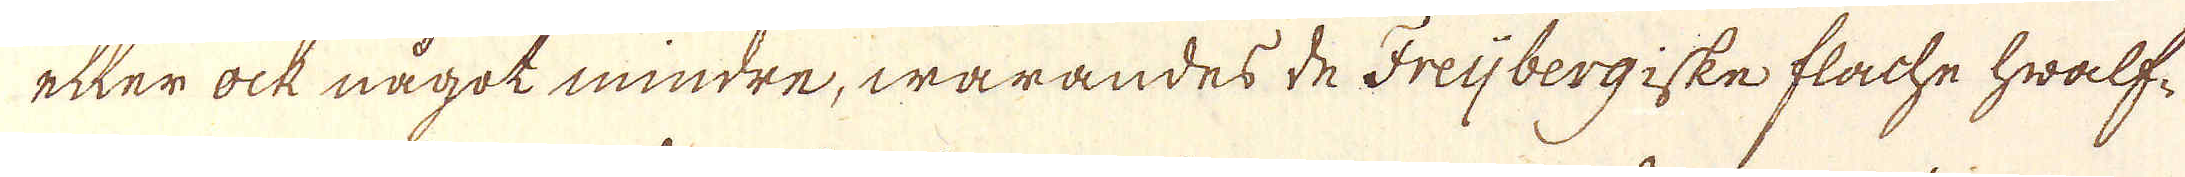eller ock något mindre, warandes de Freijbergiske flache hwalf-
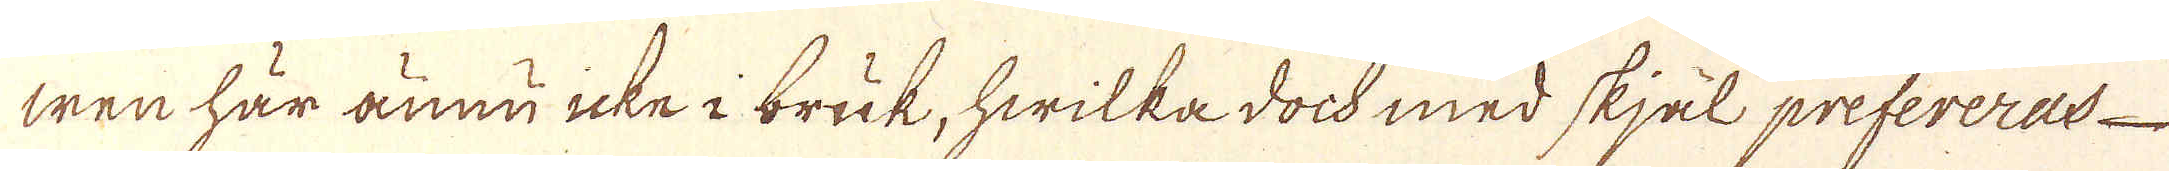wen här ännu icke i bruk, hwilka dock med skjäl prefereras
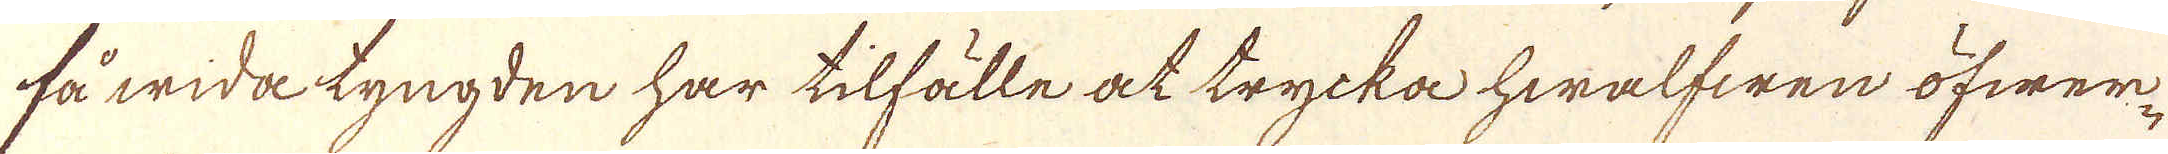få wida tyngden har tilfälle at trycka hwalfwen öfwer-
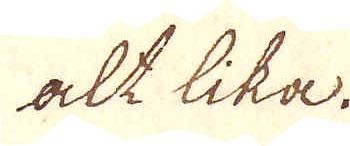alt lika.
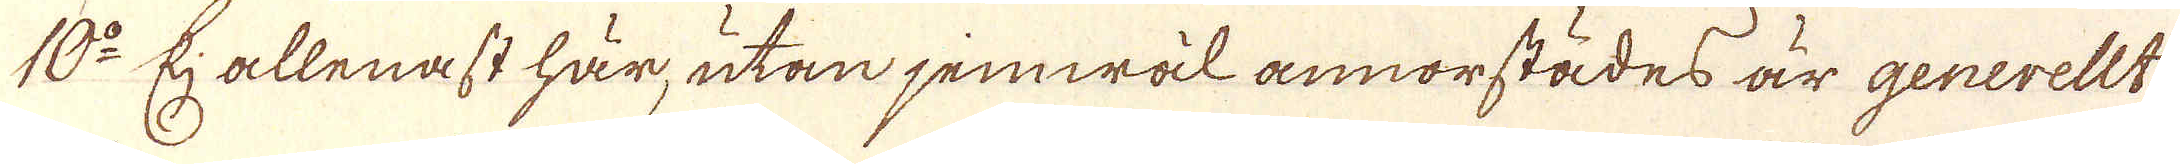10:o Eij allenast här, utan jemwäl annorstädes är generellt
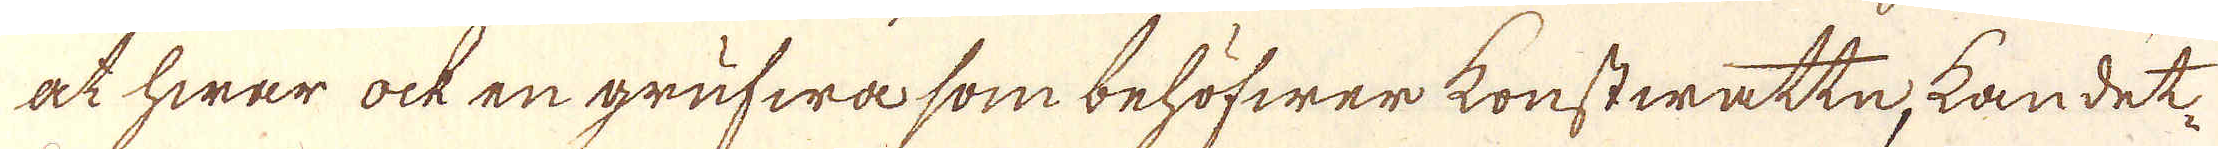at hwar ock en grufwa som behöfwer konstwatte, kan det-
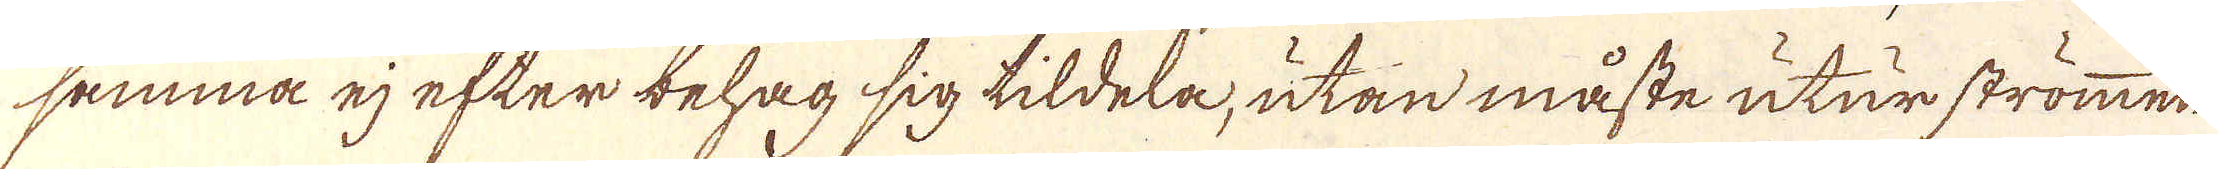samma ej efter behag sig tildela, utan måste utur strömmen
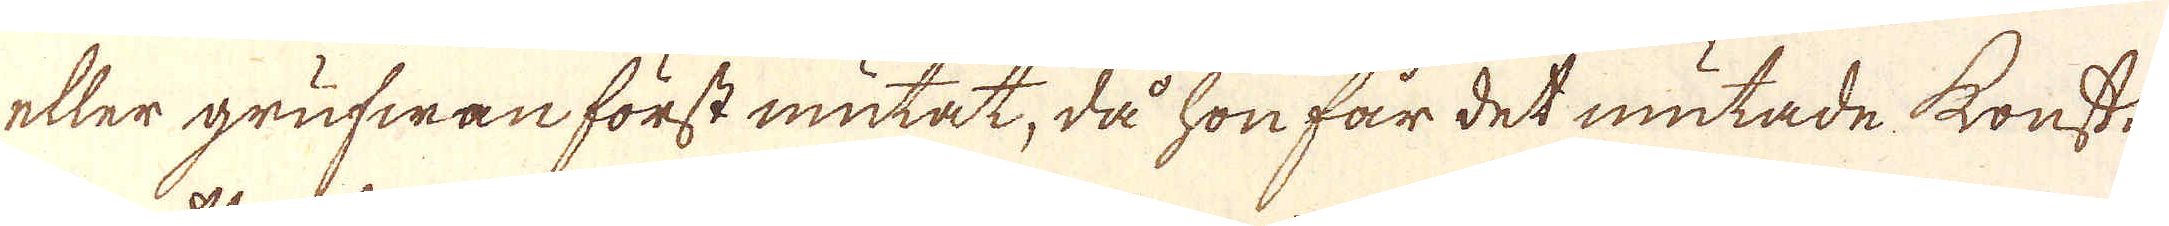eller grufwan först mutat, då hon får det mutade konst-
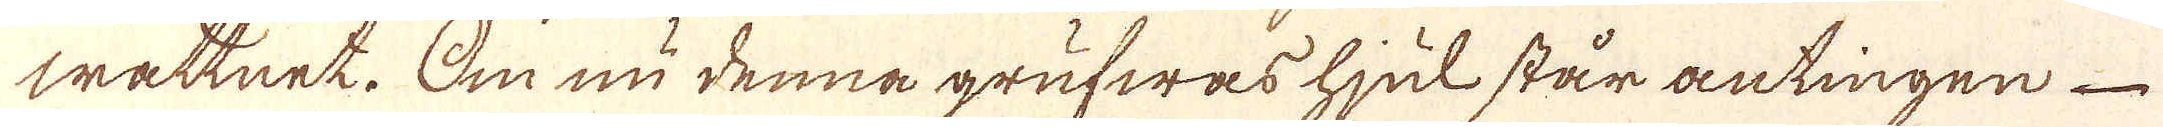wattnet. Om nu denna grufwas hjul står antingen
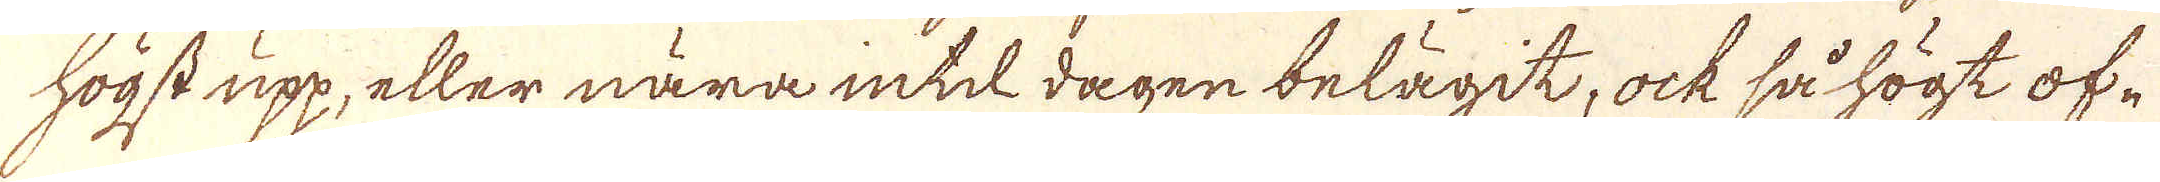högst upp, eller nära intill dagen belägit, ock så högt of-
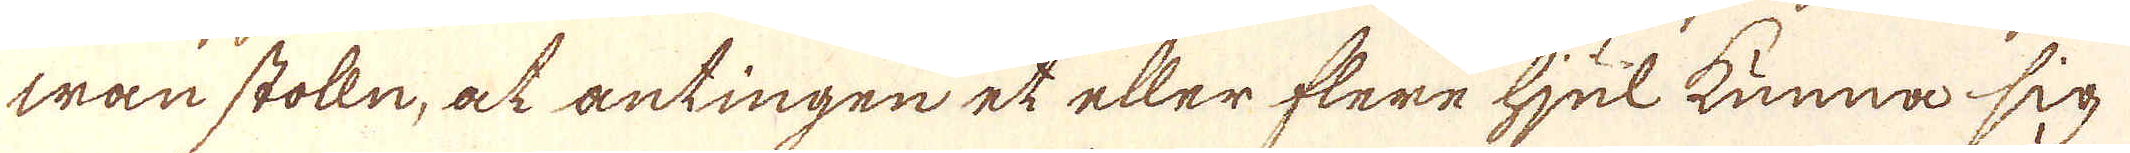wan stolln, at antingen et eller flere hjul kunna sig
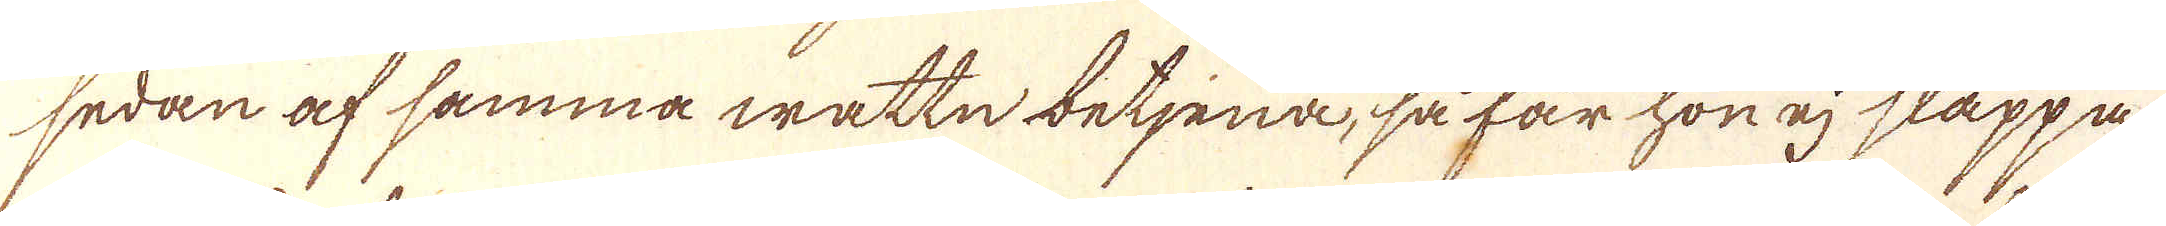sedan af samma wattn, betjena, så får hon ej släppa
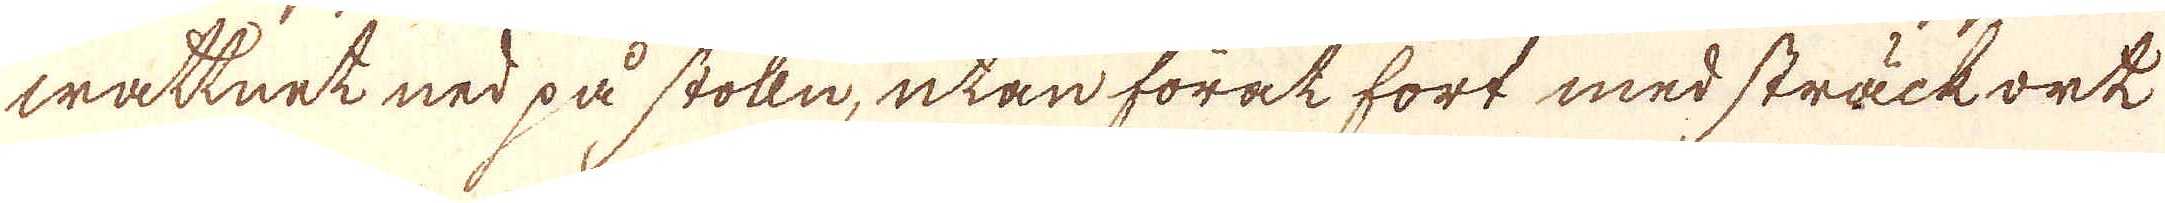wattnet ned på stolln, utan förat fort med sträckork
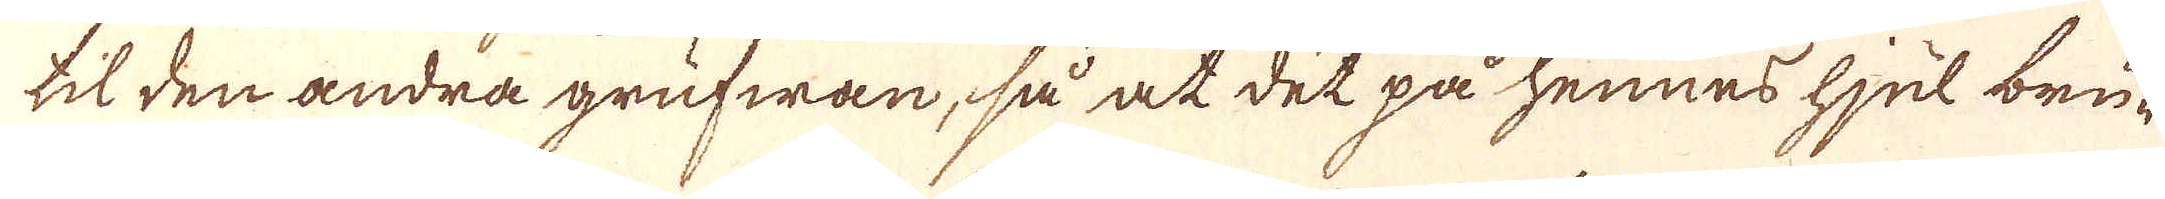til den andra grufwan, så at det på hennes hjul bru-
